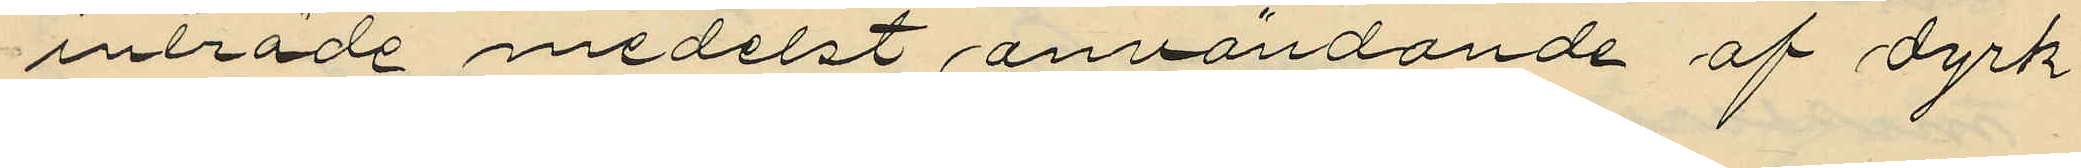inträde medelst användande af dyrk
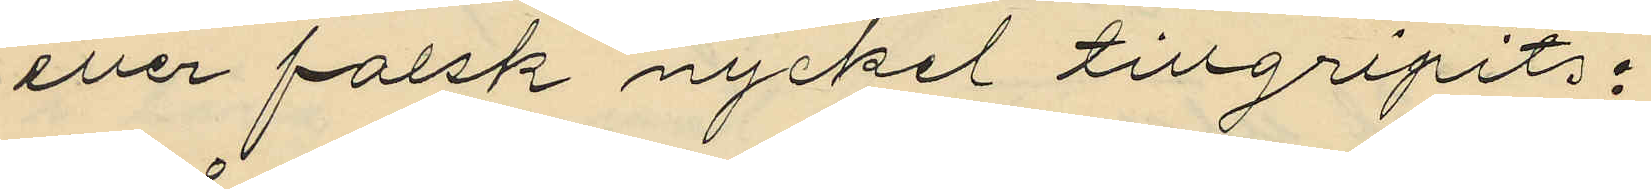eller falsk nyckel tillgripit:
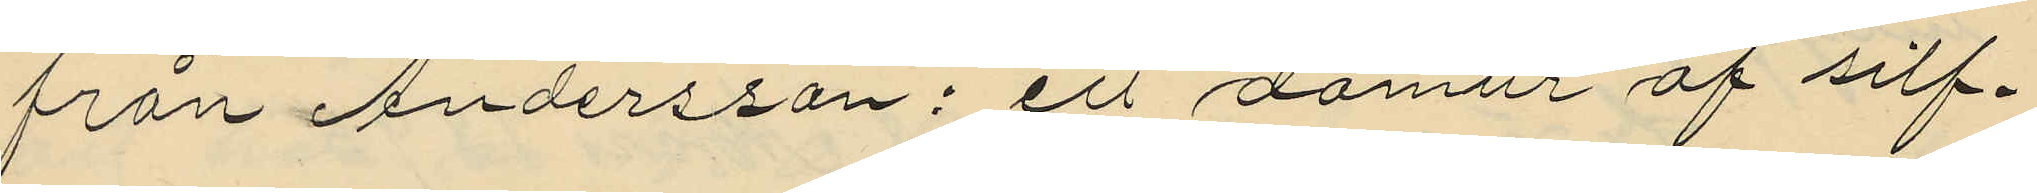från Andersson: ett domur af silf¬
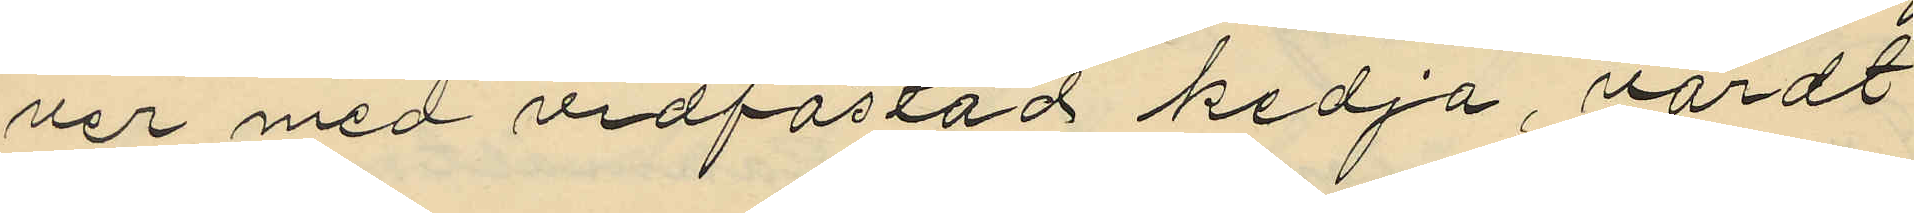ver med vidfästad kedja, värdt
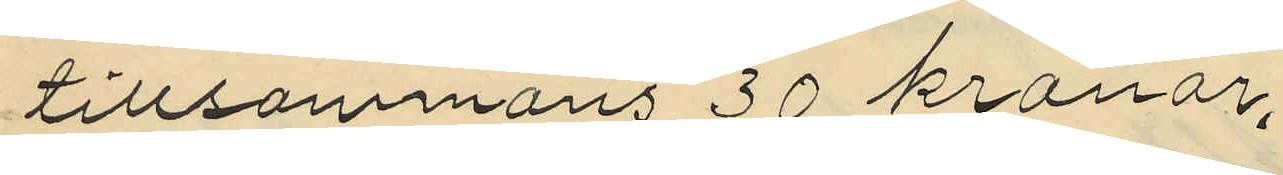tillsammans 30 kronor,
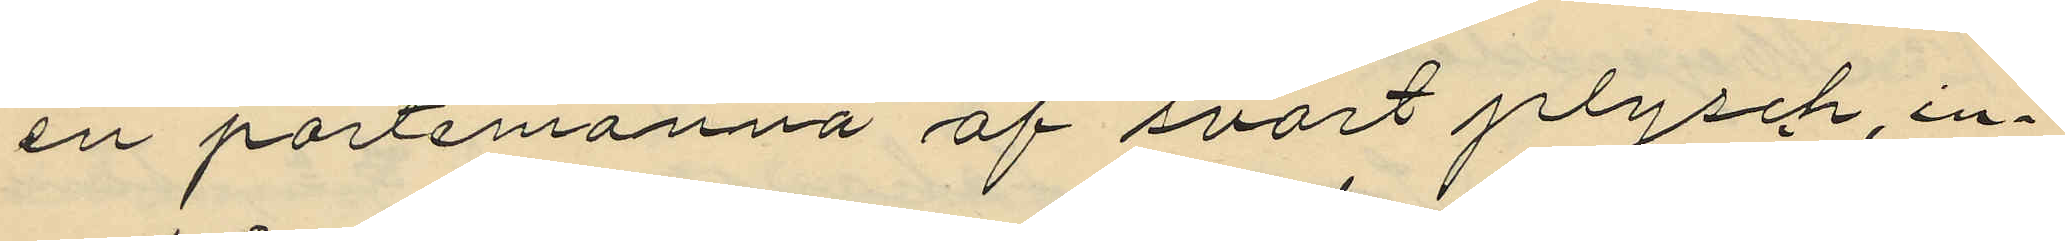en portemonnä af svart plysch, in¬
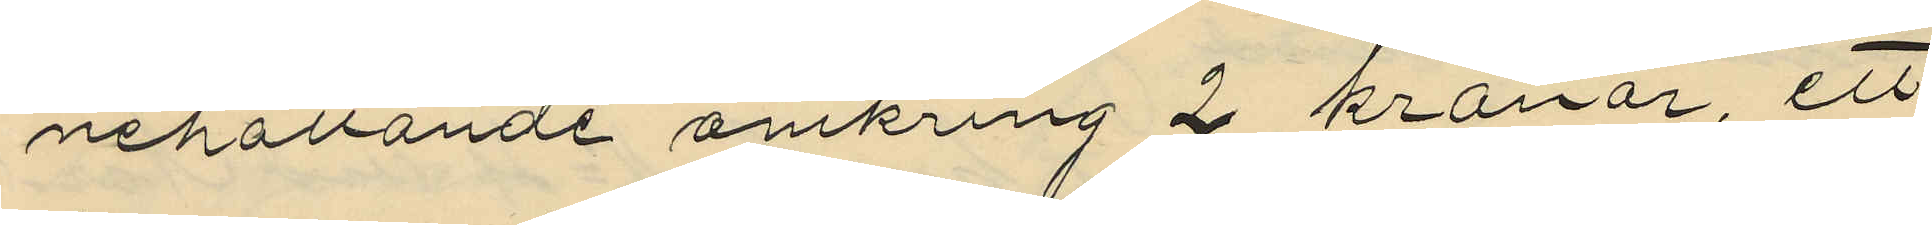nehållande omkring 2 kronor, ett
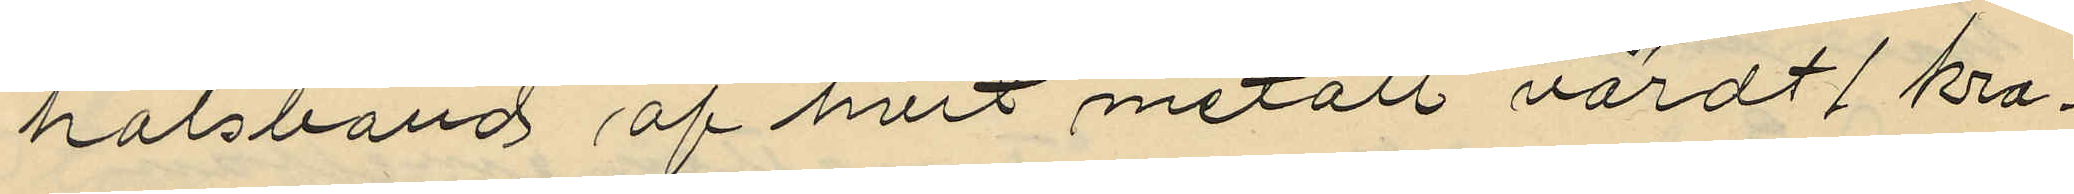halsband af hvit metall värdt 1 kro¬
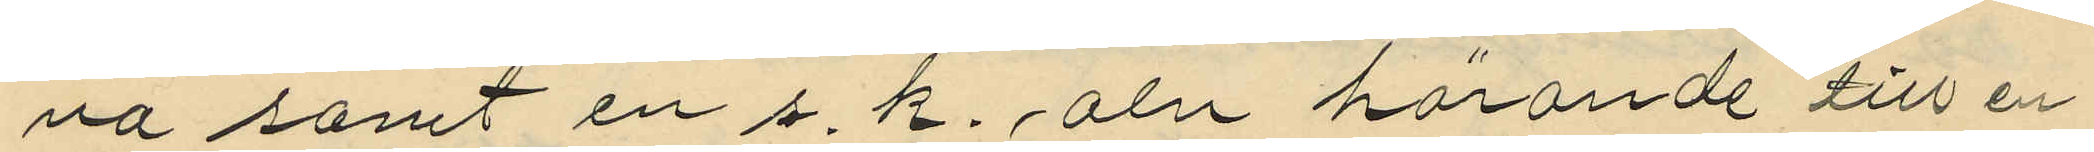na samt en s. k. aln hörande till en
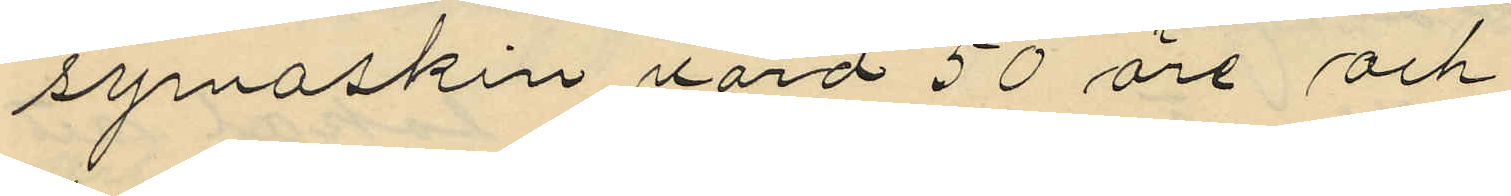symaskin värd 50 öre och
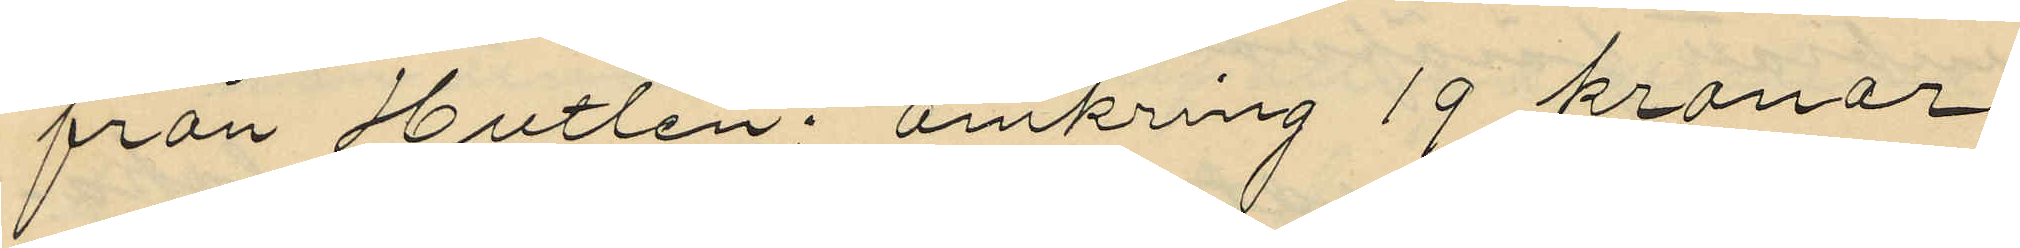från Hultén: omkring 19 kronor
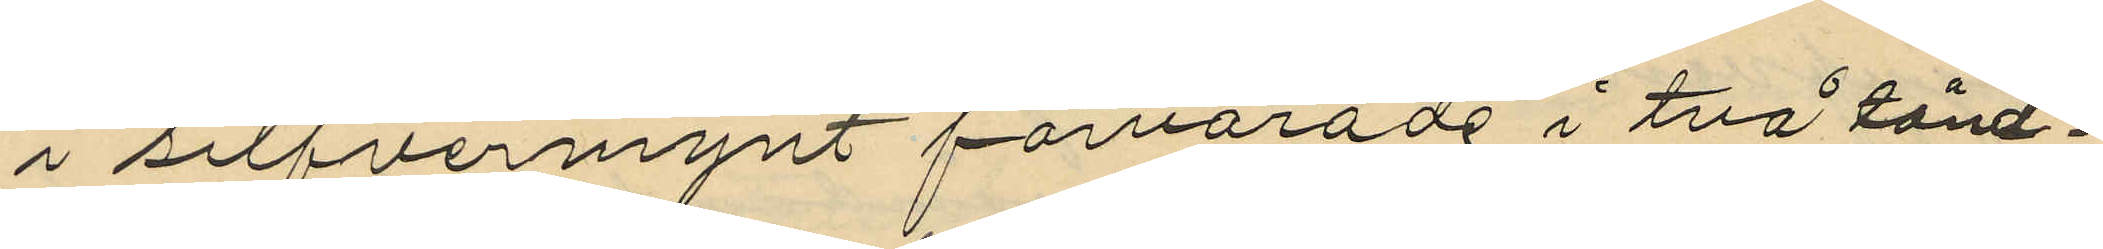i silfvermynt förvarade i två tänd¬
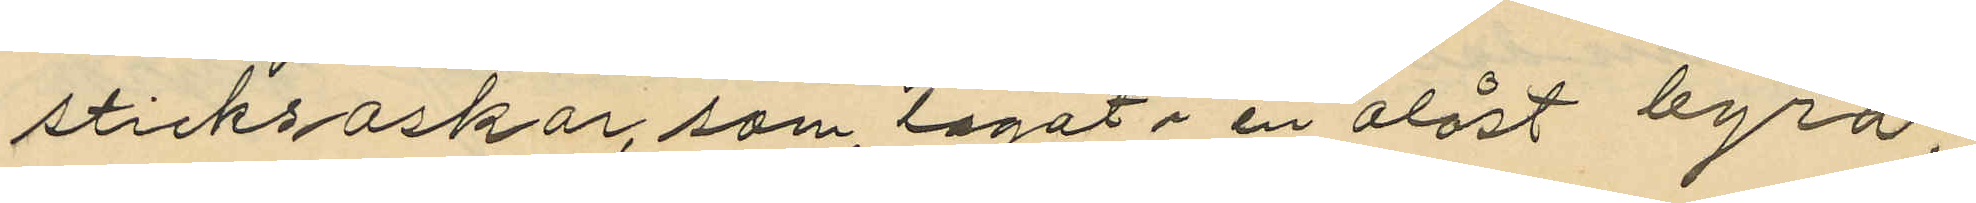sticksaskar, som lagat i en olåst byrå;
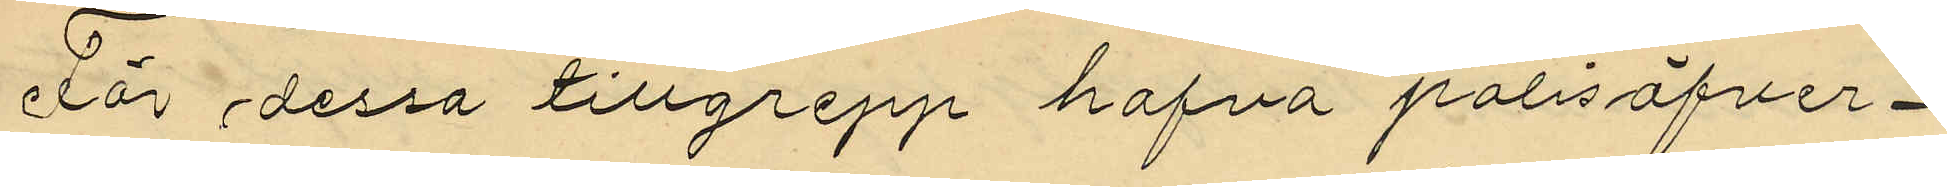För dessa tillgrepp hafva polisöfver¬
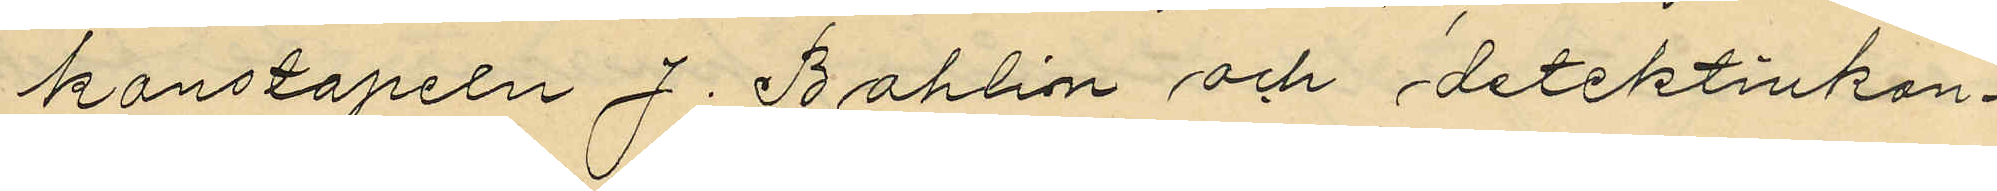konstapeln J. Bohlin och detektivkon¬
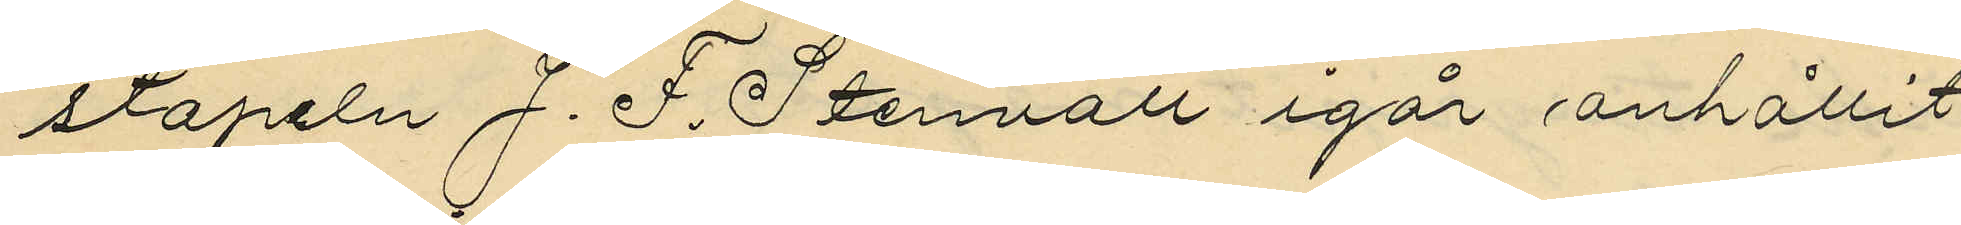stapeln J. F. Stenvall igår anhållit
